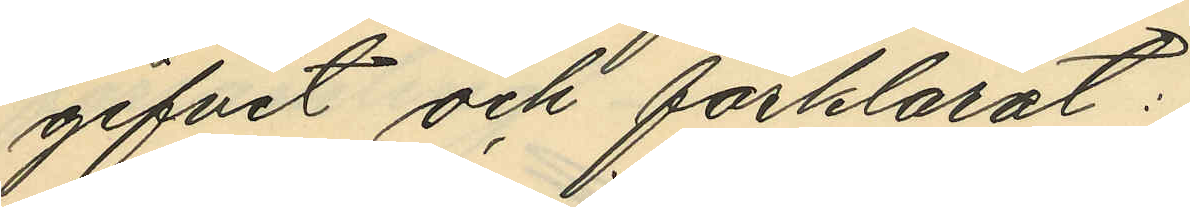gifvit och förklarat:
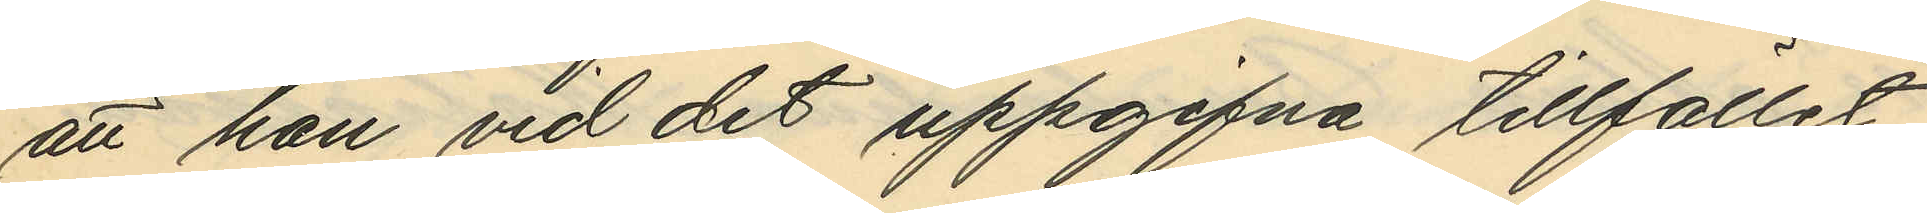att han vid det uppgifna tillfället
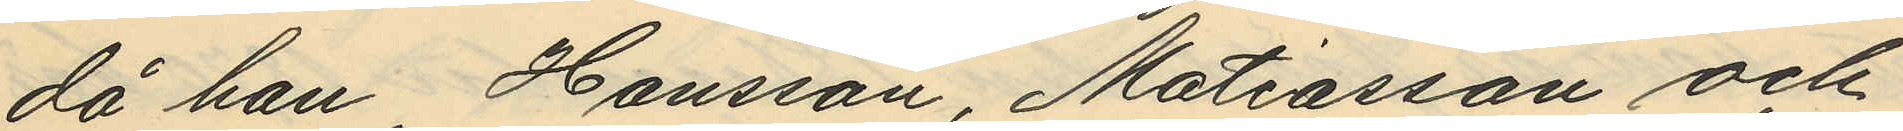då han Hansson, Matiasson och
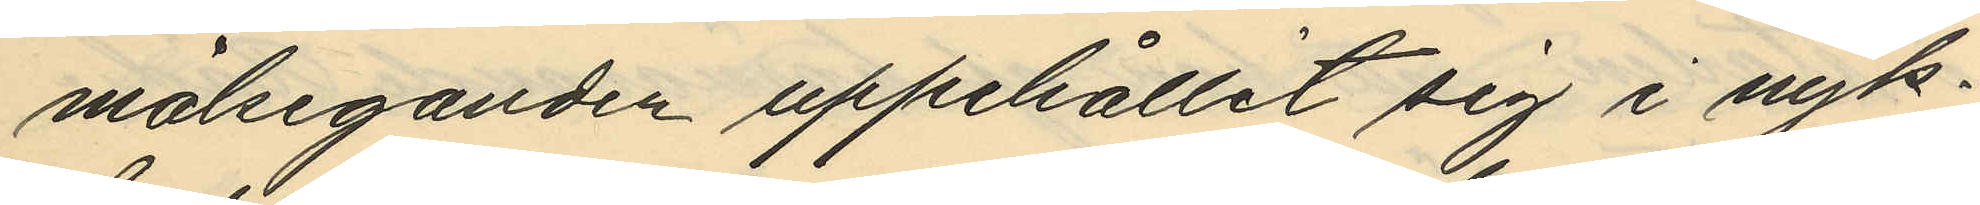målseganden uppehållit sig i nyk¬
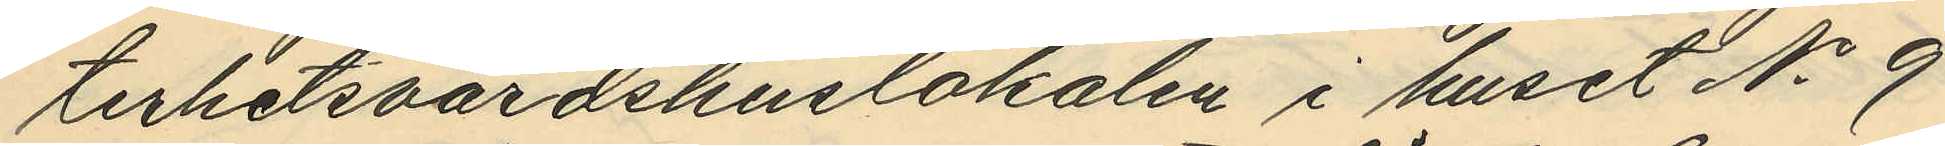terhetsvärdshuslokalen i huset No 9
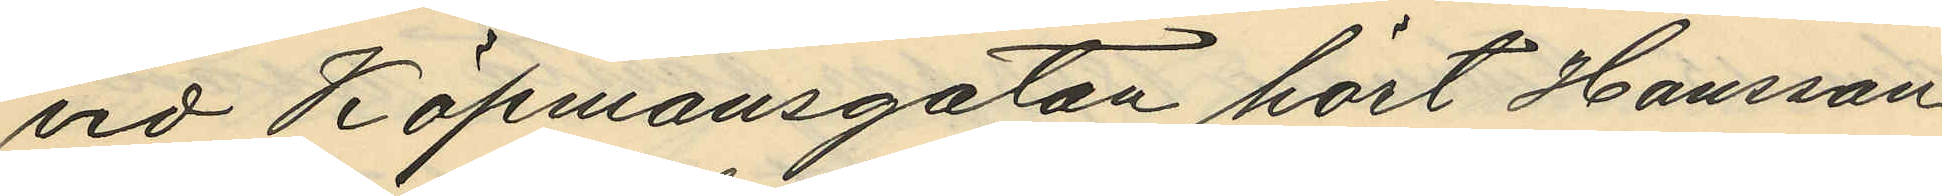vid Köpmansgatan hört Hansson
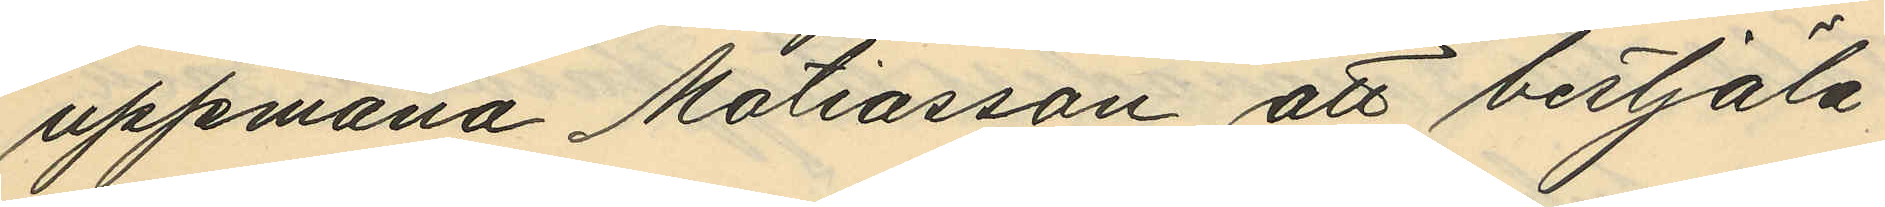uppmana Mattiasson att bestjäla
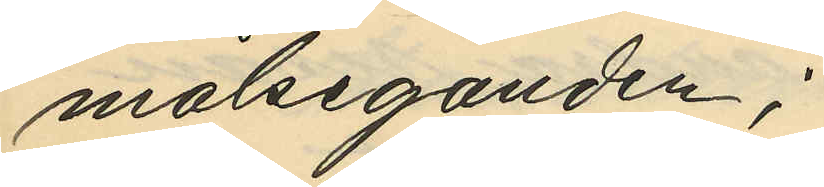målseganden;
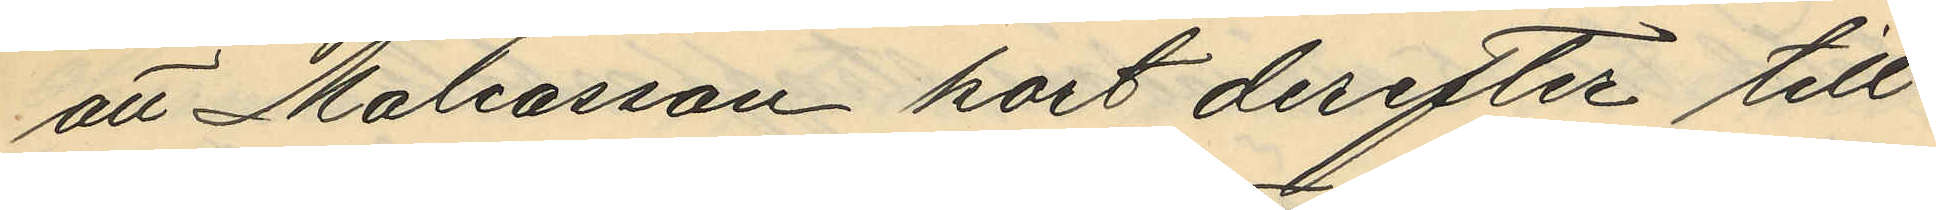att Mattiasson kort derefter till
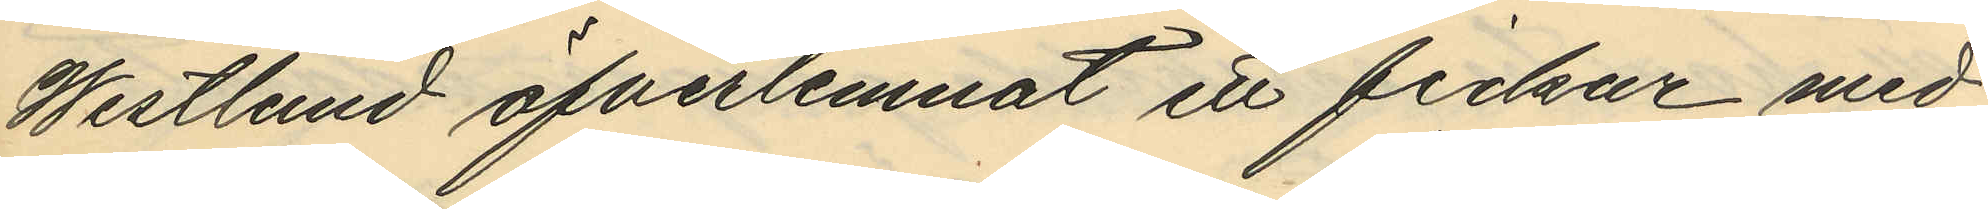Westlund öfverlemnat ett fickur med
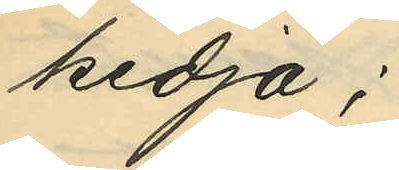kedja;
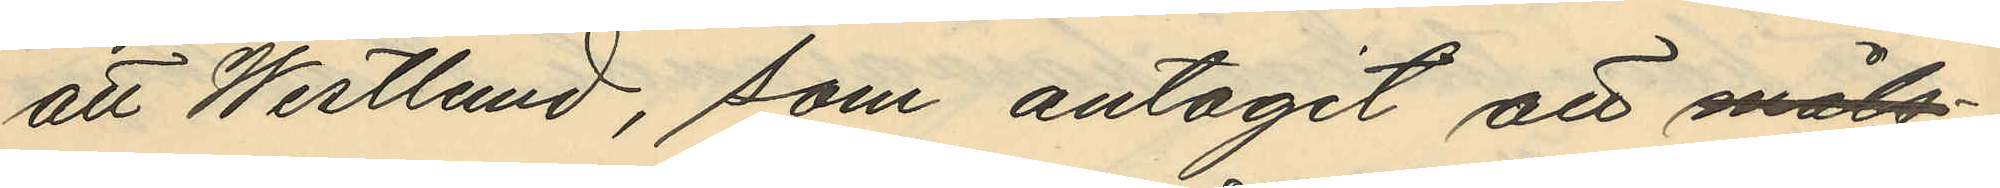att Westlund, som antagit att
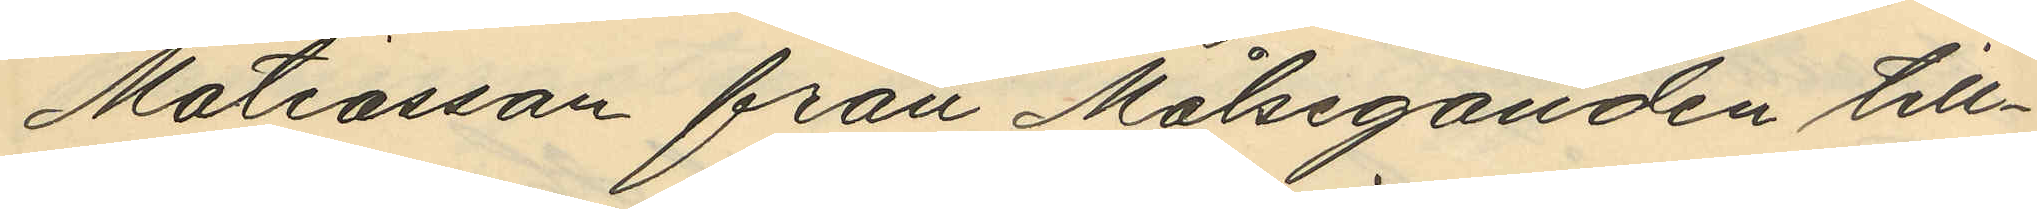Mattiasson från Målseganden till¬
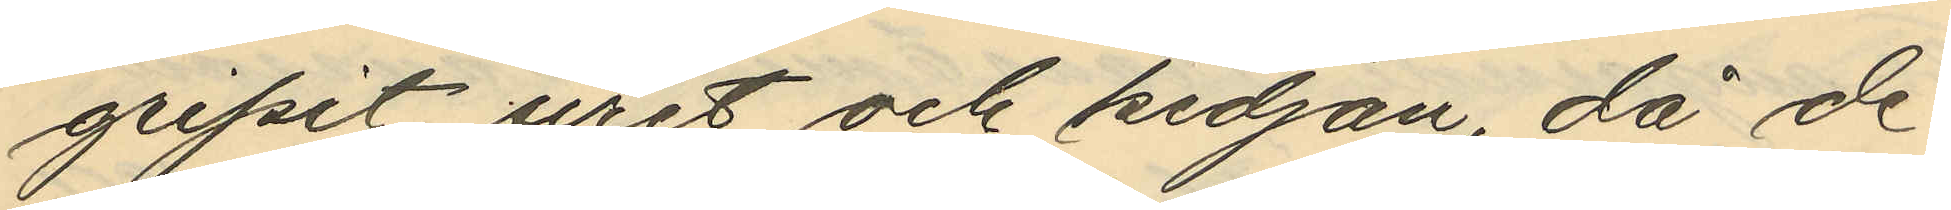gripit uret och kedjan, då de
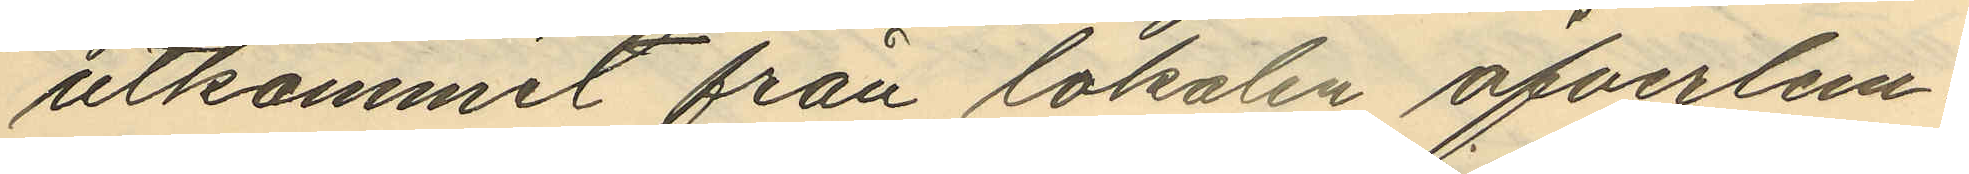utkommit från lokalen öfverlem¬
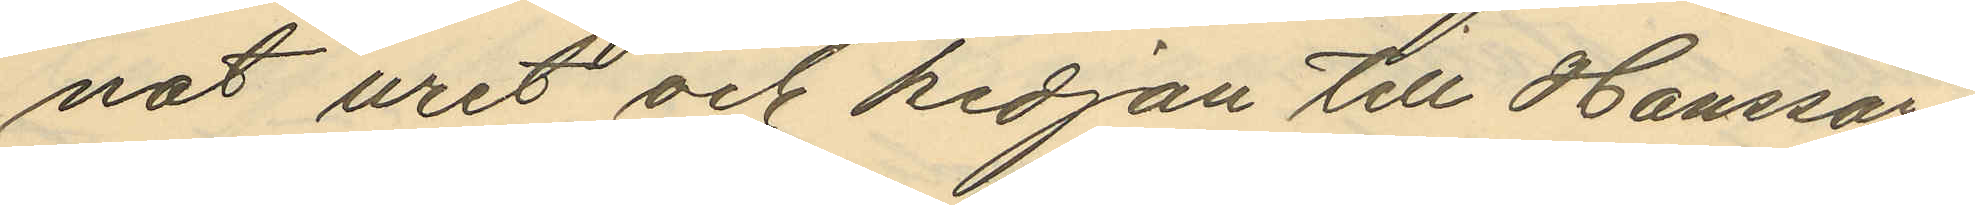nat uret och kedjan till Hansson
